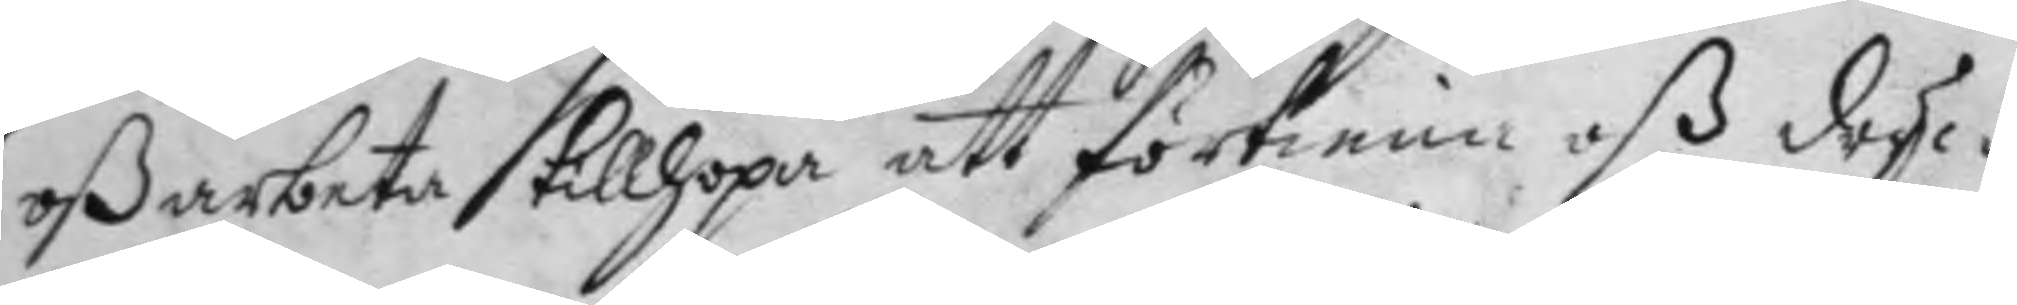oß arbeta tillhopa att förtiena oß druc¬
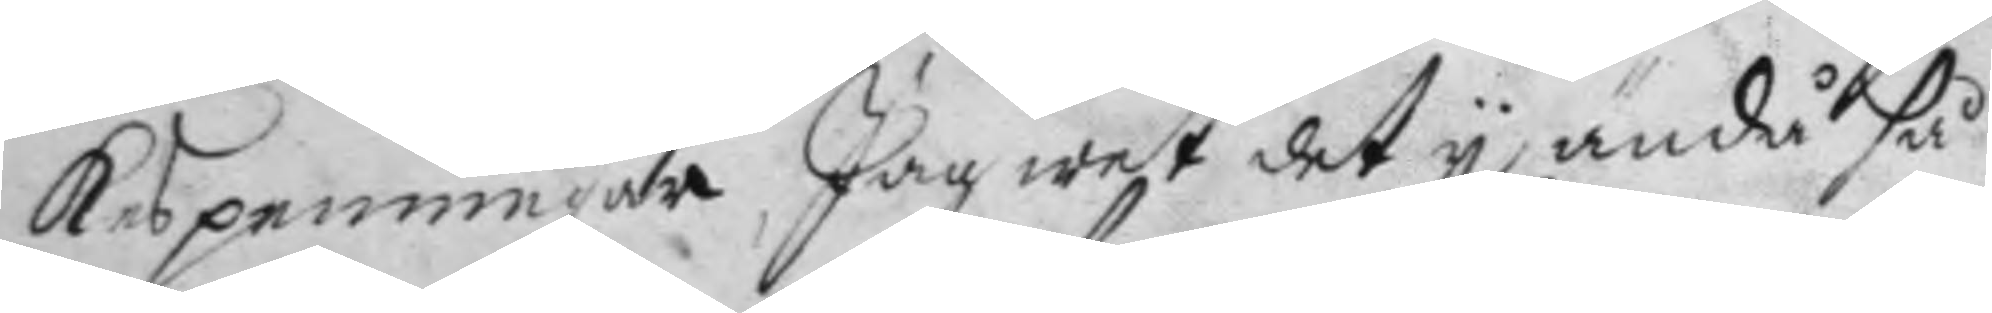kespenningar, Jag wet det y ändå så
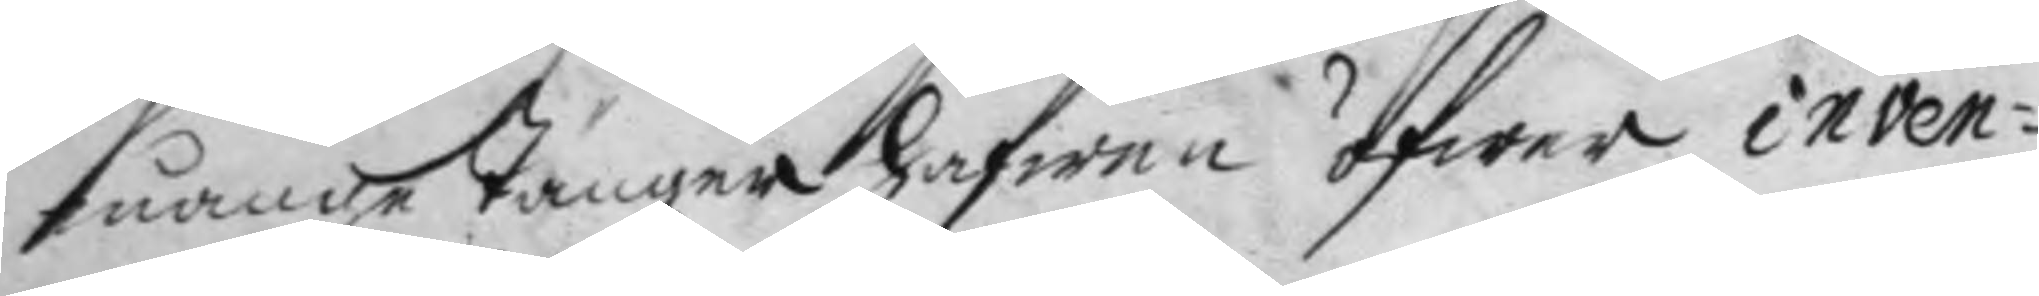månge Tänger hafwen öfwer inven¬
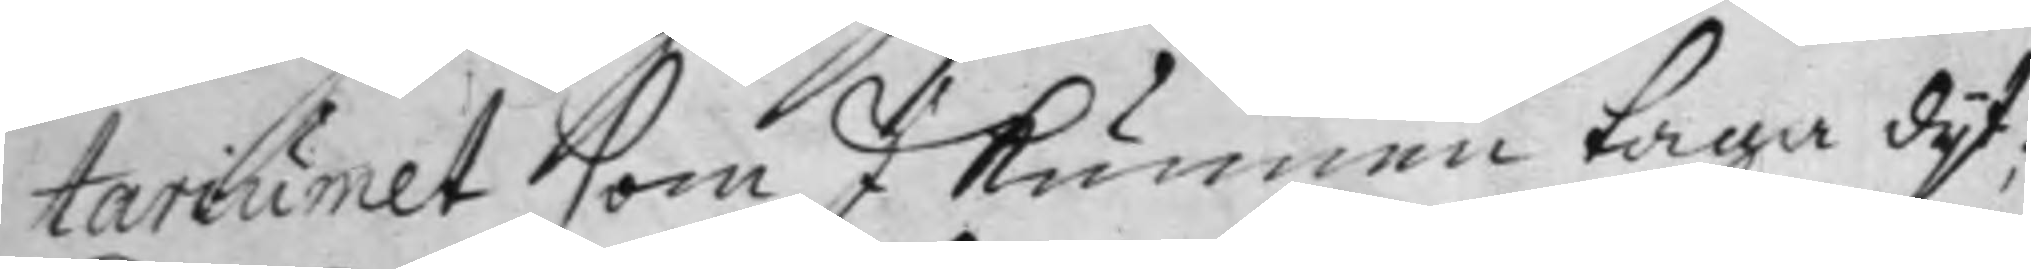tariumet som I kunnen taga dyt;
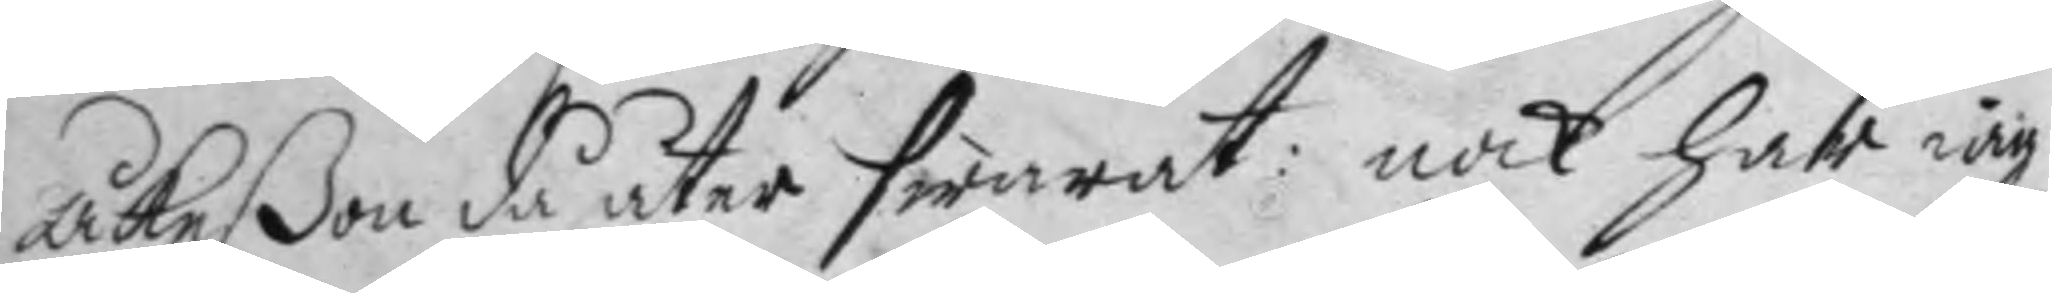Åkeßon då åter swarat: nok har iag
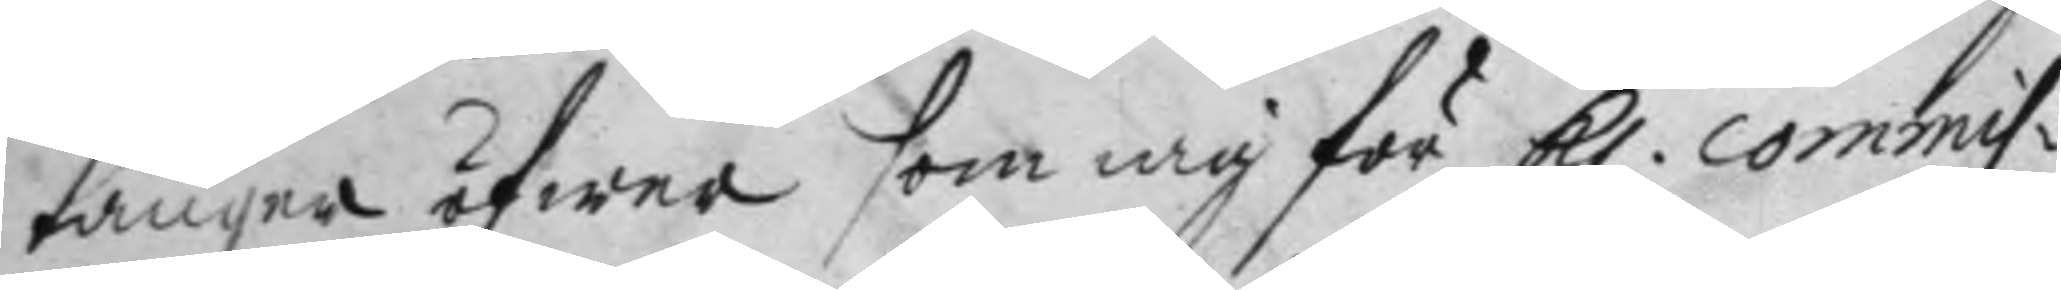tänger öfwer som iag för Kl. Commis¬ 
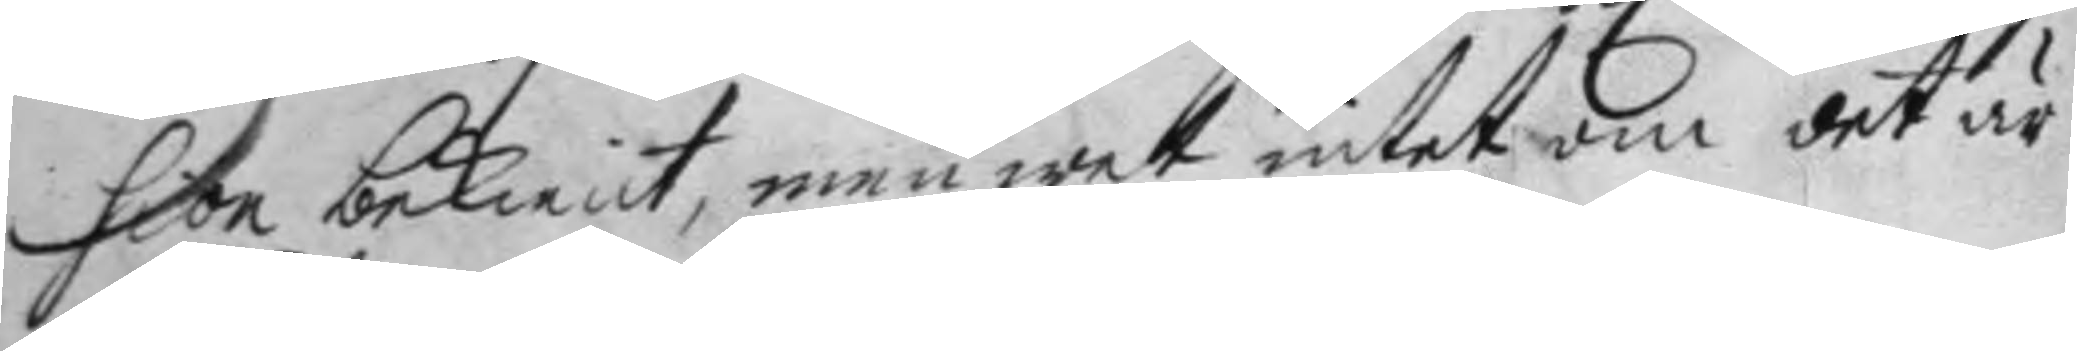sion bekient, men wet intet om det är
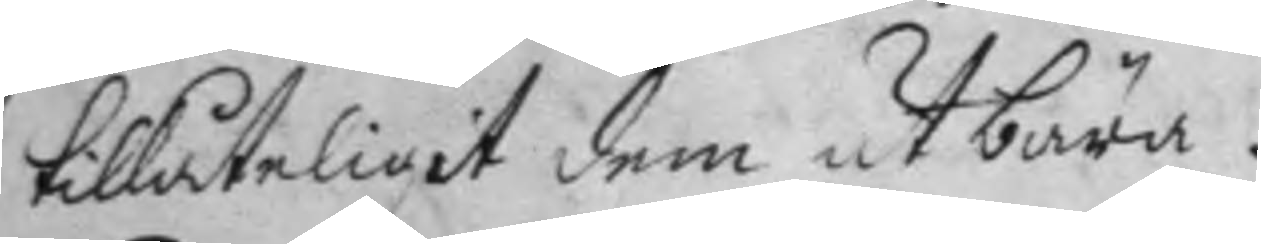tillåteligit dem utbära.
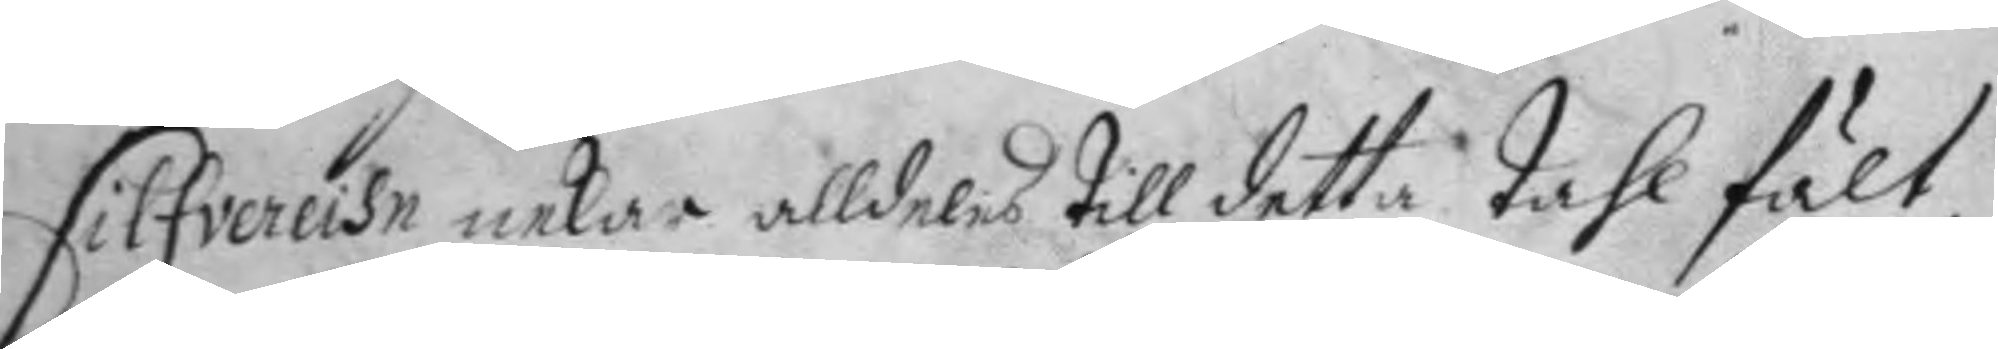Silfvereihn nekar alldeles till detta tahl fält,
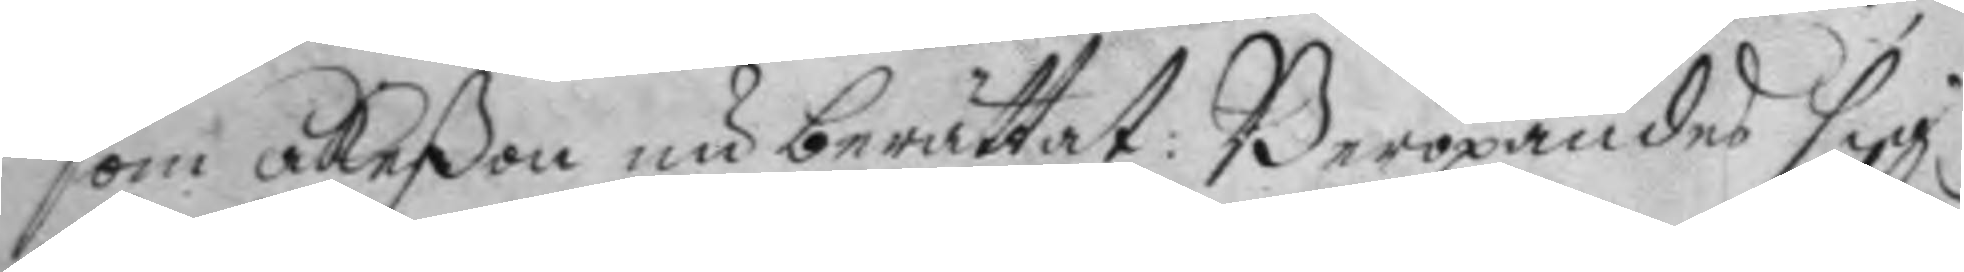som Åkeßon nu berättat: Beropandes sig
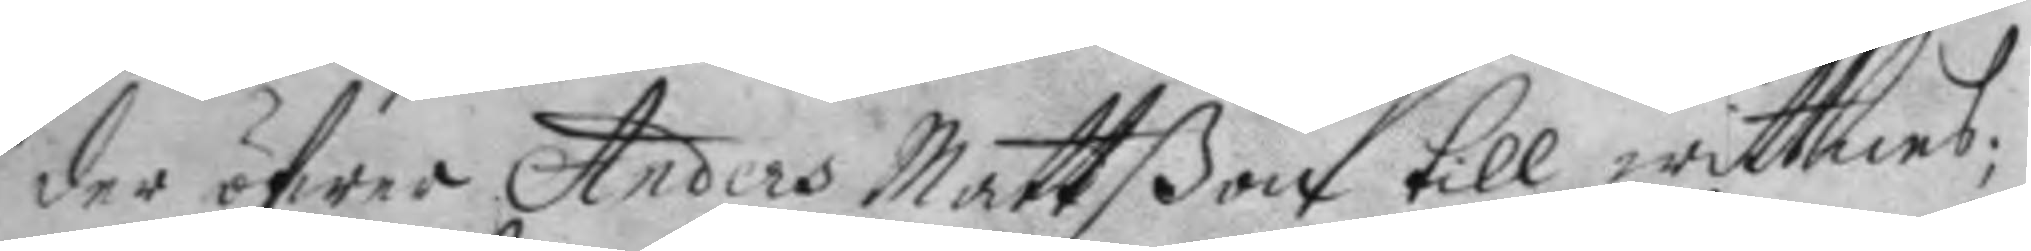der öfwer Anders Mattßon till wittnes;
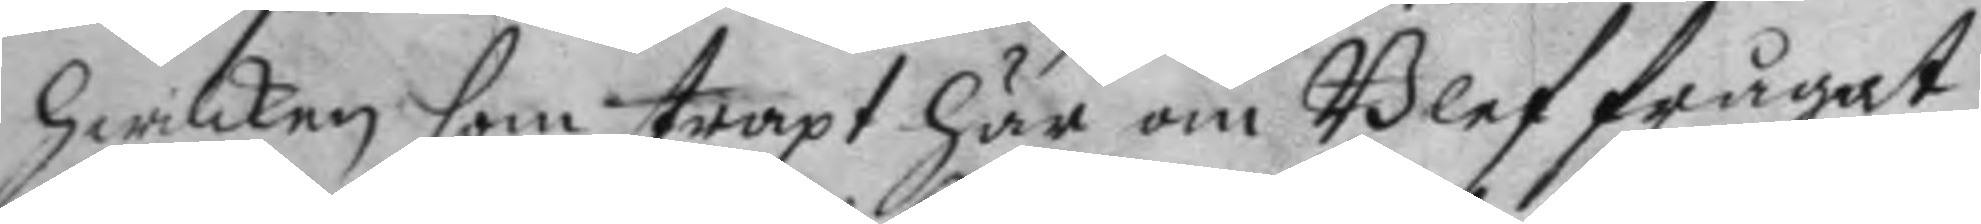hwilken som straxt här om Blef frågat
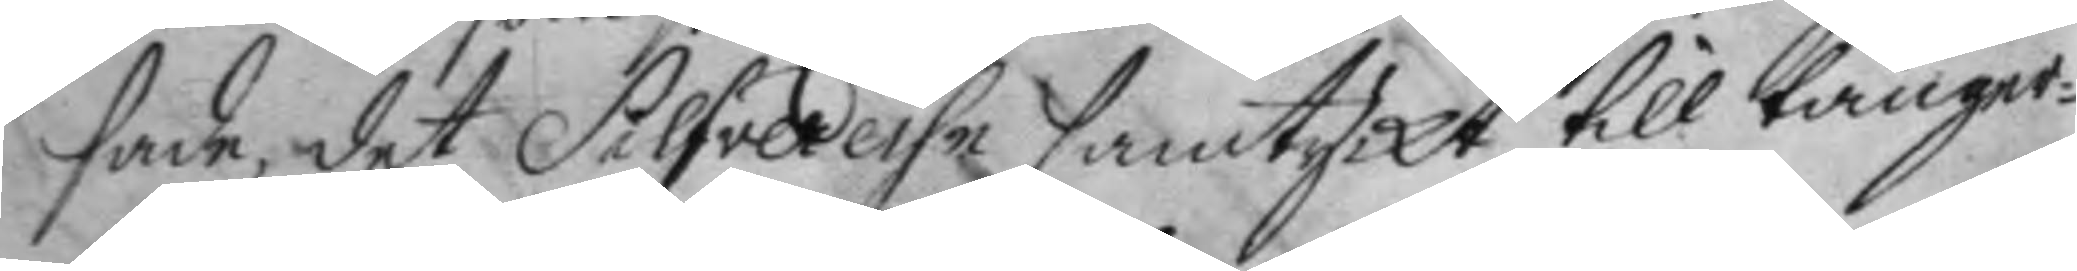sade, det Silfvereihe samttyckt till tänger¬
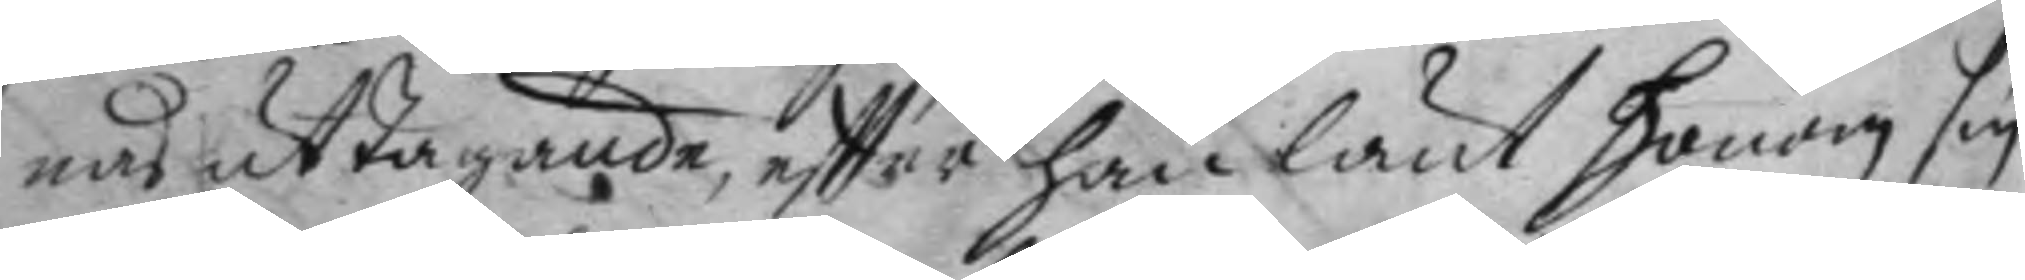nas uttagande, effter han lånt honom sin
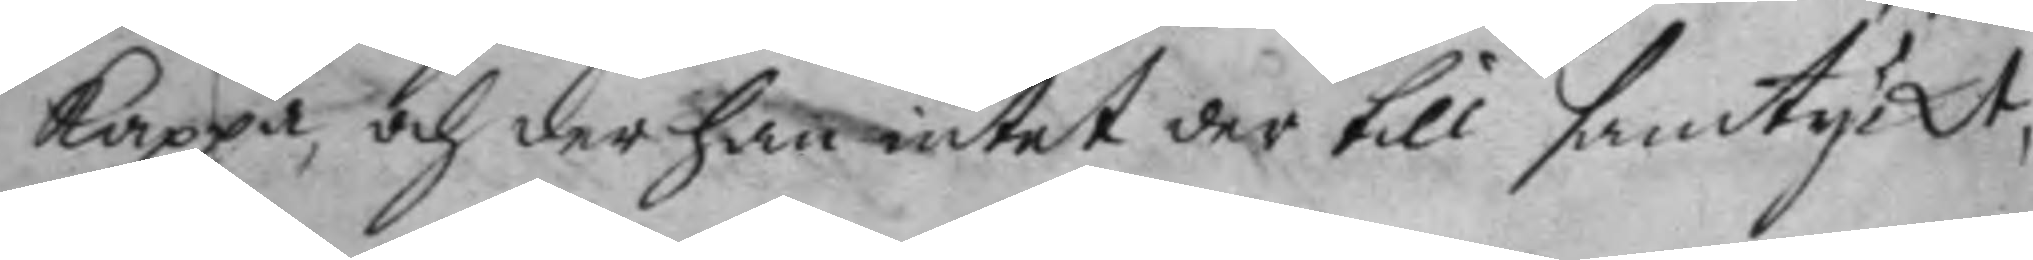kappa, och der han intet der till samtyckt,
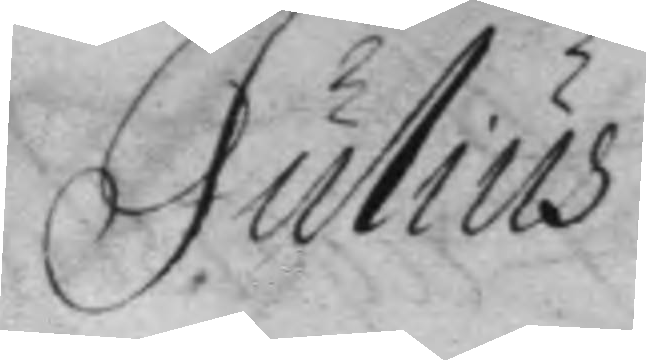Julius
